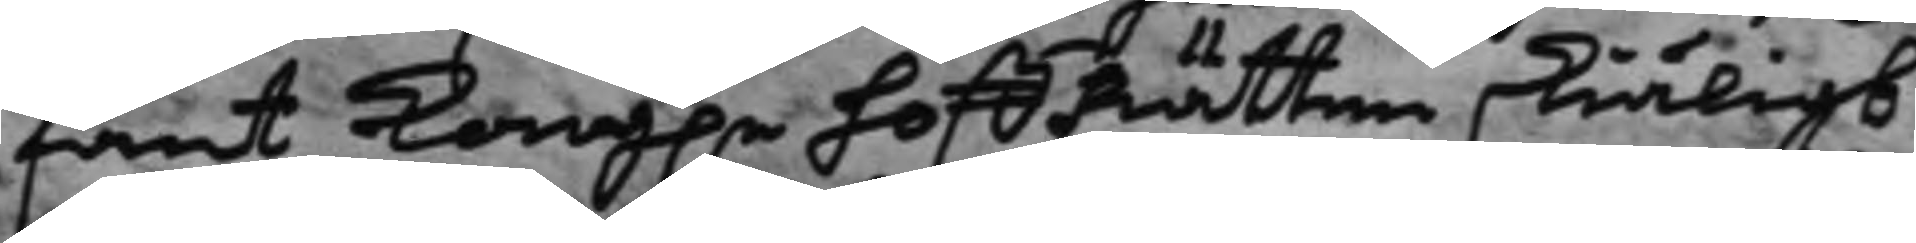fant Kong.e HoffRätten skiäligt
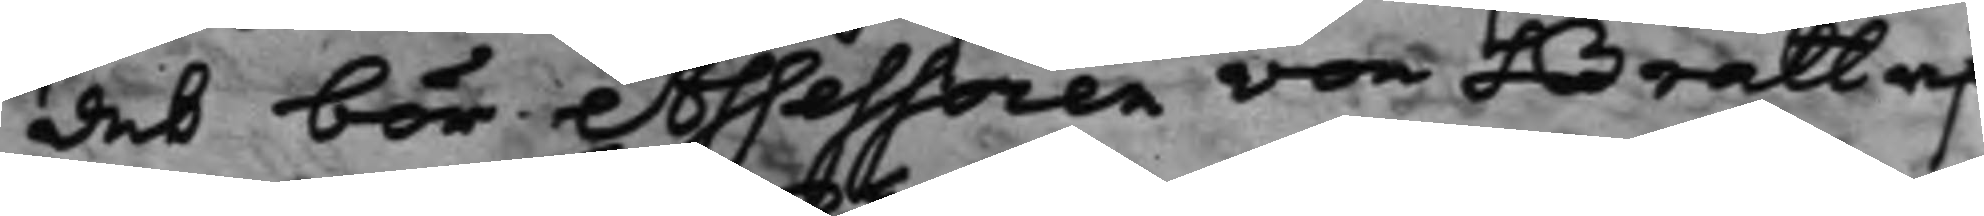det bör Assessoren von Bratt af
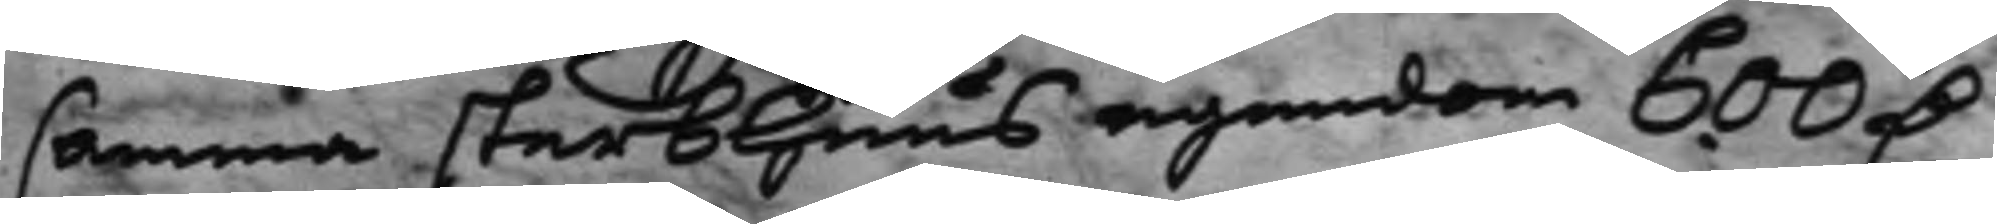samma sterbhuus egendom 600 D.
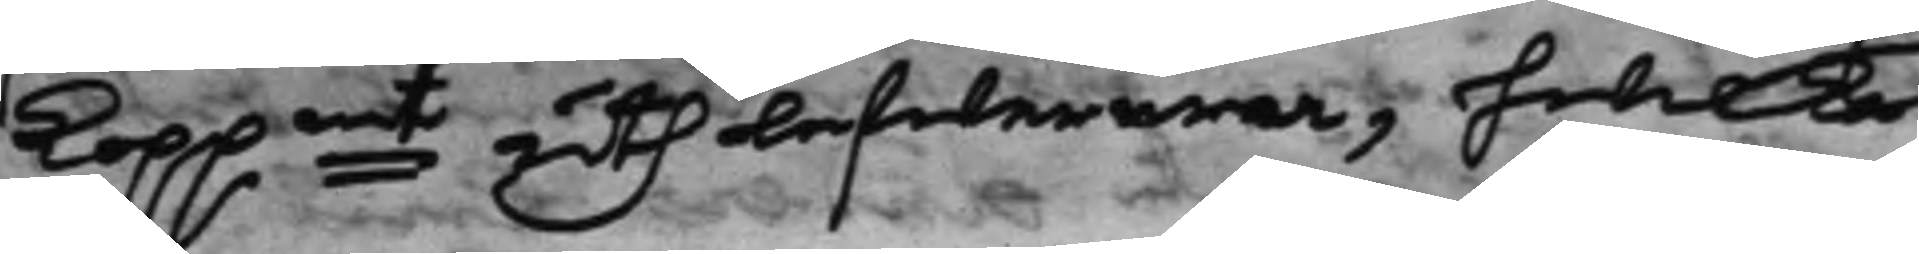Koppmt uthlefwerera, hwilket
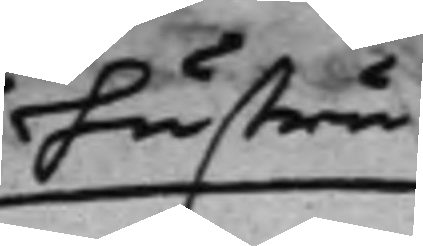hustru
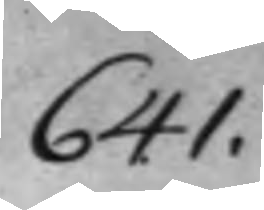641.
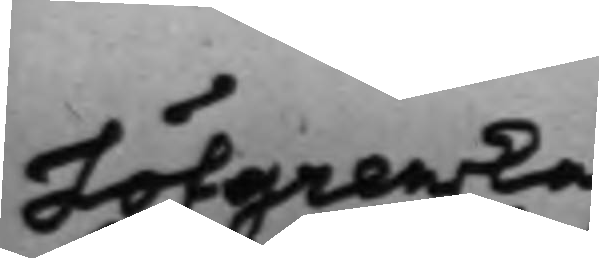Löfgrenska
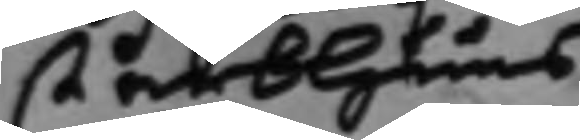sterbhuus
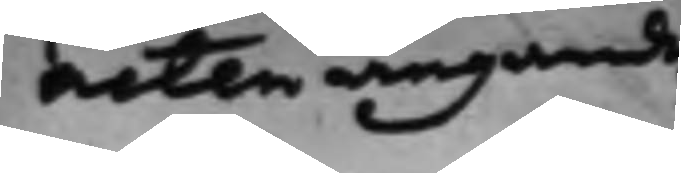noten angaende
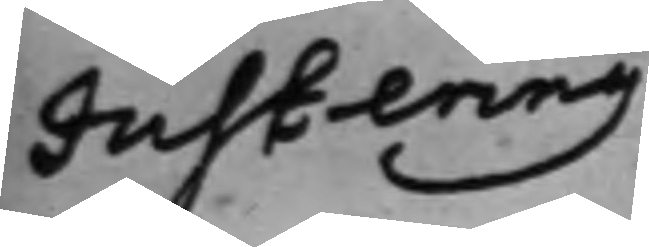Justering
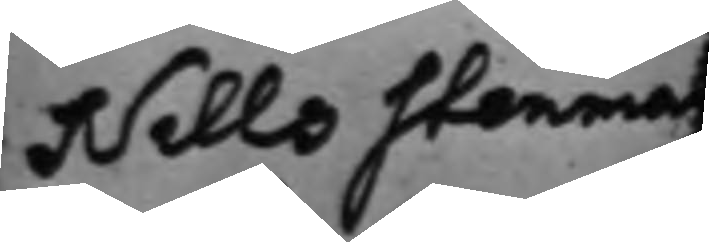Nills Sterman
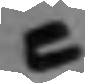C
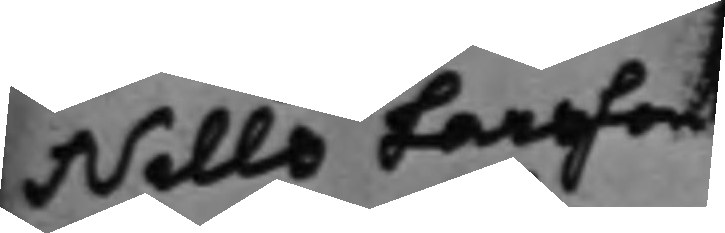Nills Larsson
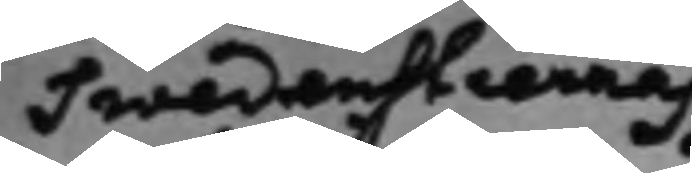Swedenstiernas
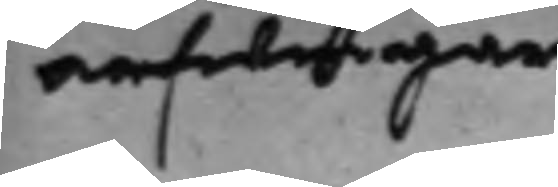arfwingar
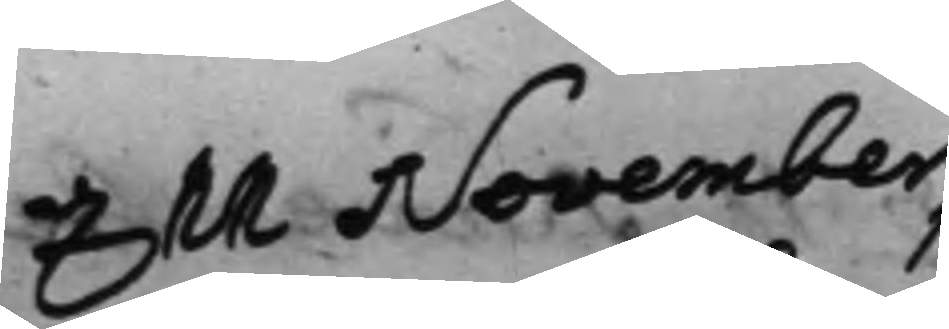d. 11 November
